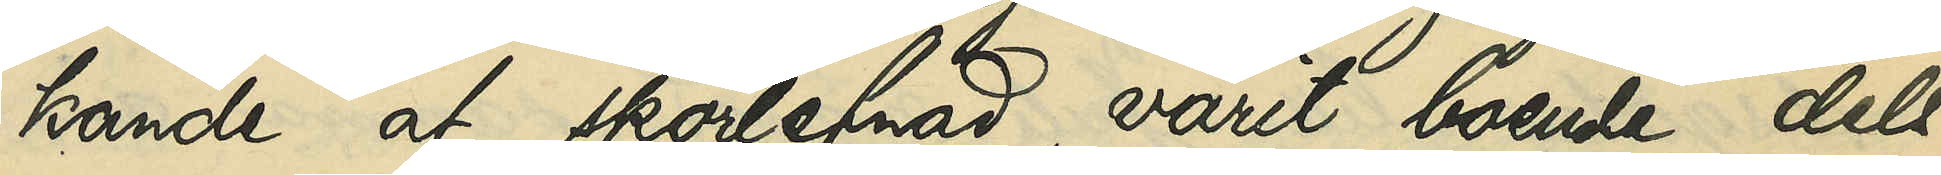kande af skörlefnad, varit boende dels
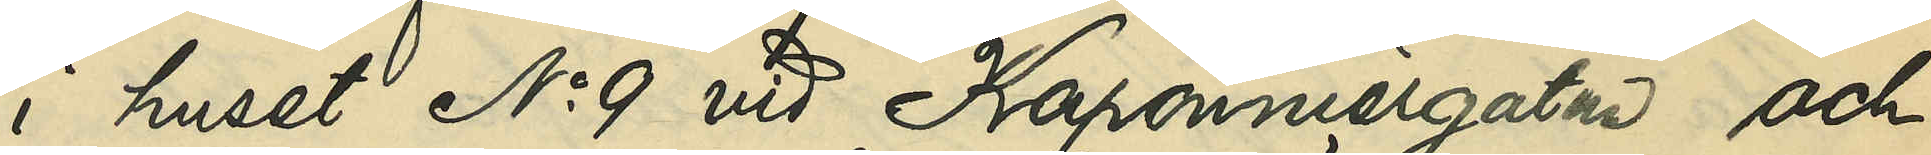i huset No 9 vid Kaponniergatan och
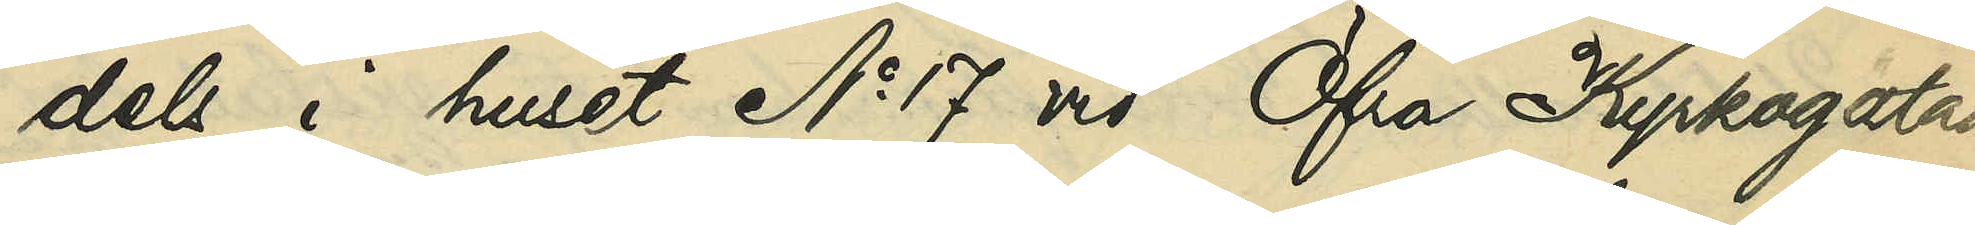dels i huset No 17 vid Öfra Kyrkogatan
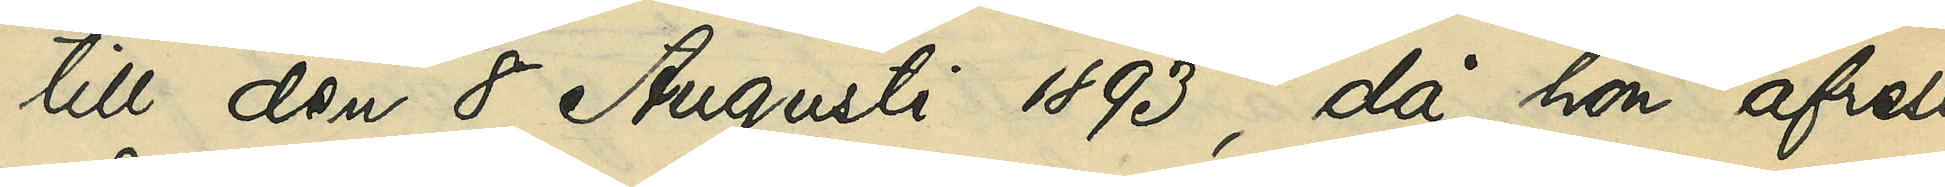till den 8 Augusti 1893, då hon afrest
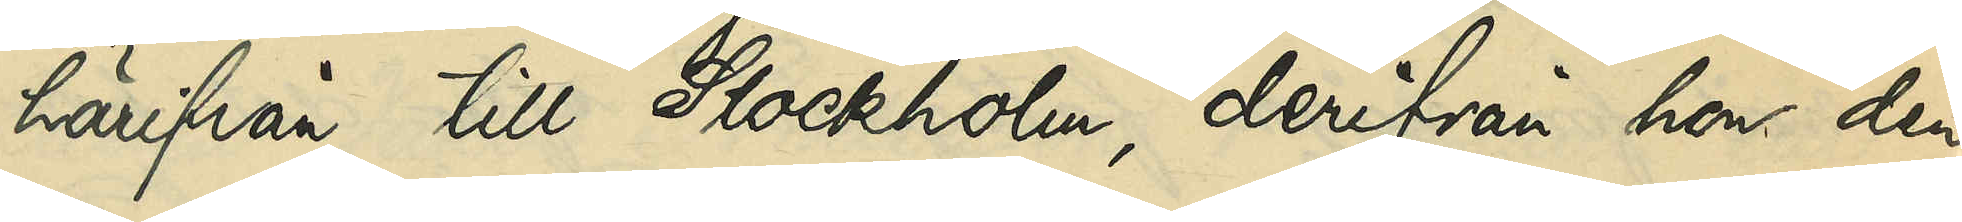härifrån till Stockholm, derifrån hon den
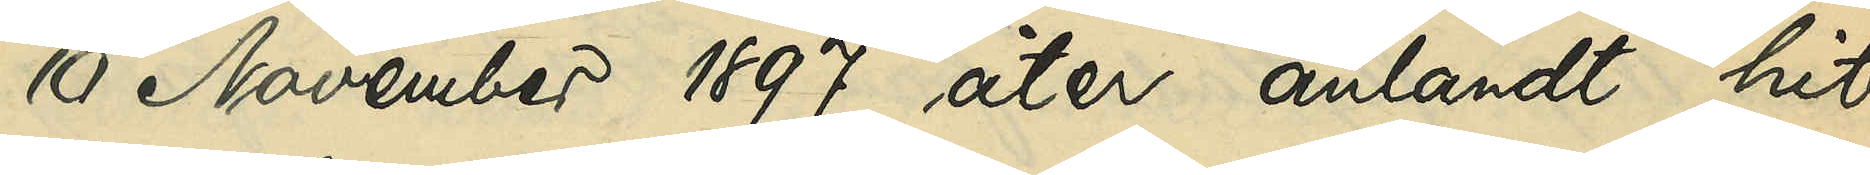10 November 1897 åter anländt hit
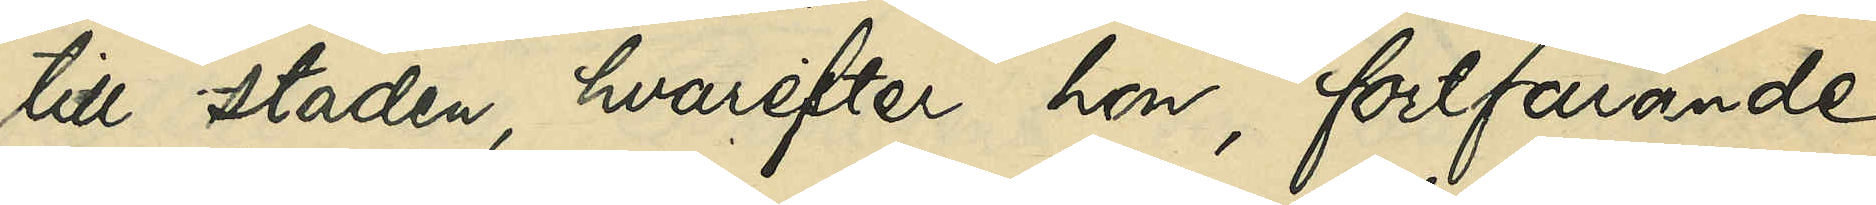till staden, hvarefter hon, fortfarande
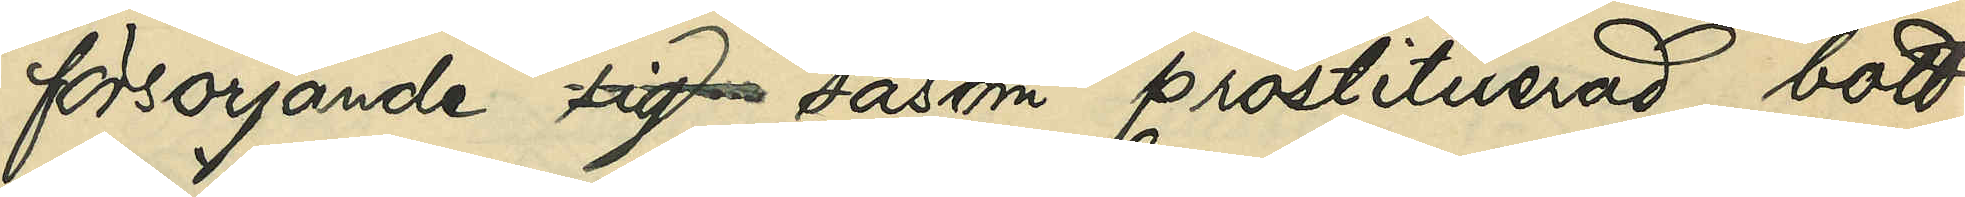försörjande sig såsom prostituerad, bott
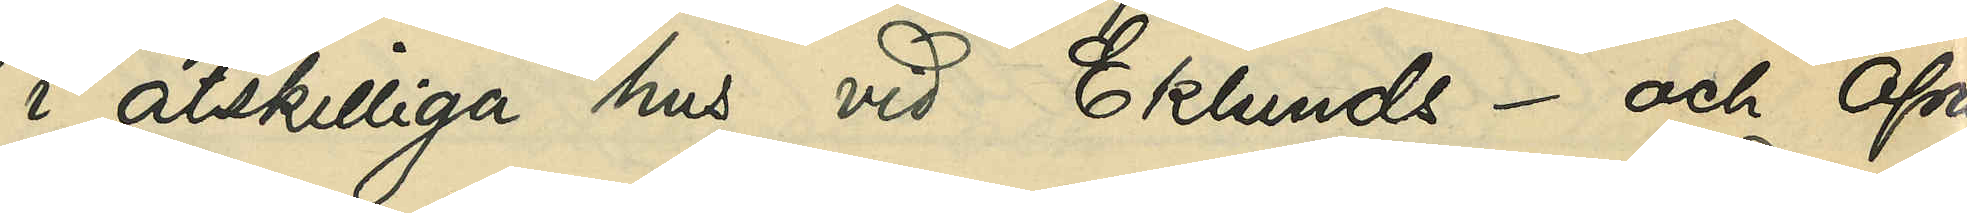i åtskilliga hus vid Eklunds- och Öfra
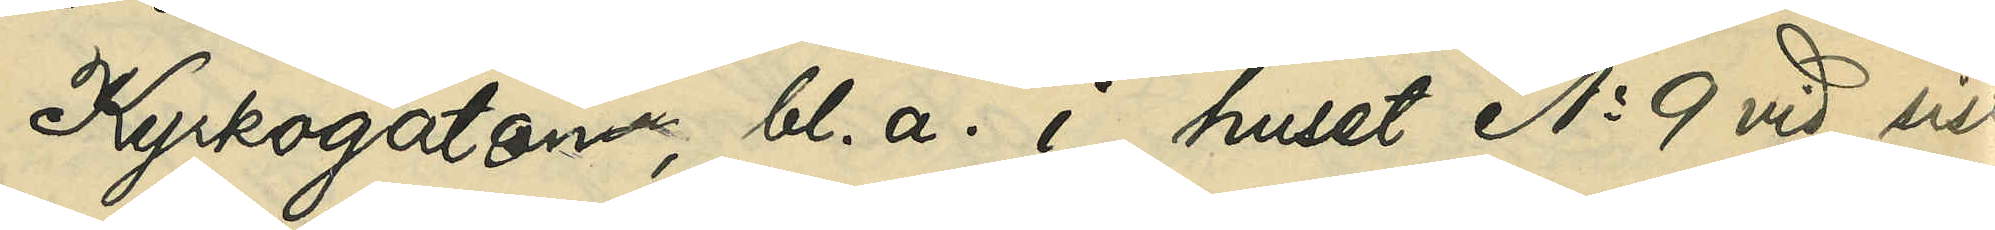Kyrkogatan, bl. a. i huset No 9 vid sist¬
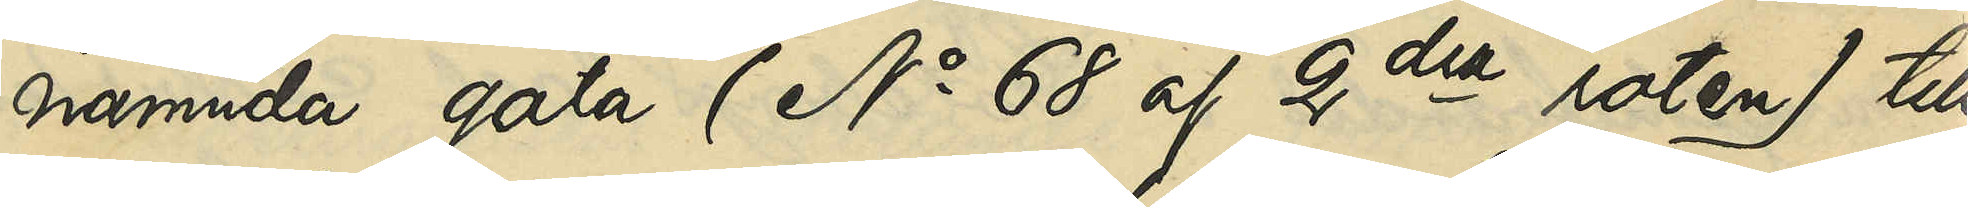nämnda gata (No 68 af 2dra roten) till
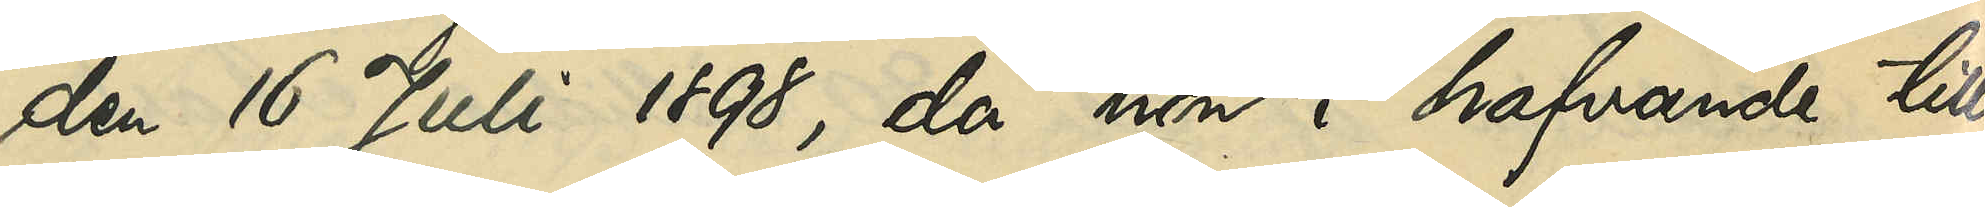den 16 Juli 1898, då hon i hafvande till¬
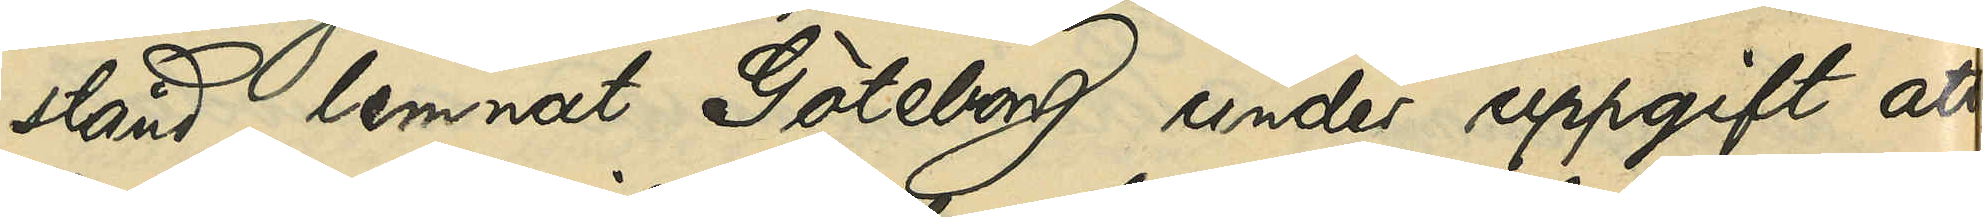stånd lemnat Göteborg under uppgift att
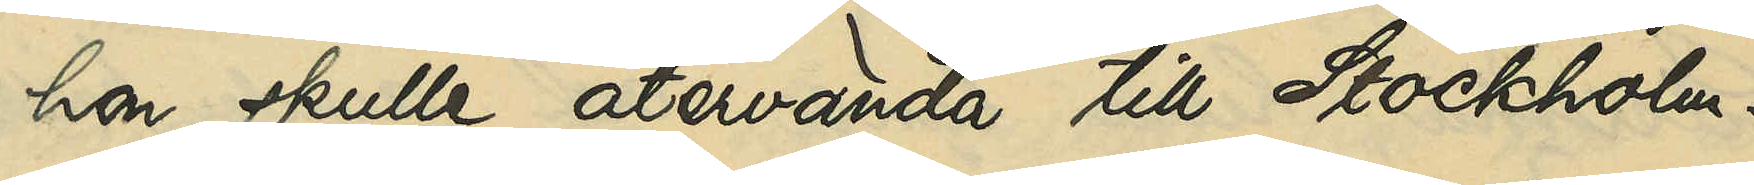hon skulle återvända till Stockholm.
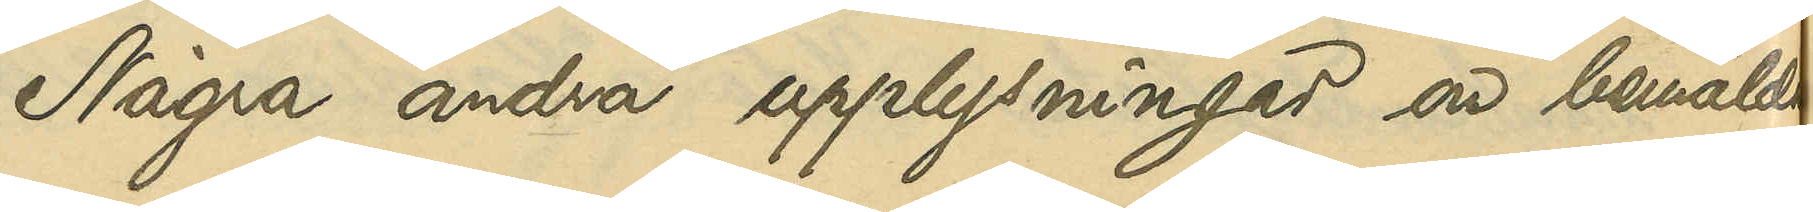Några andra upplysningar om bemälda
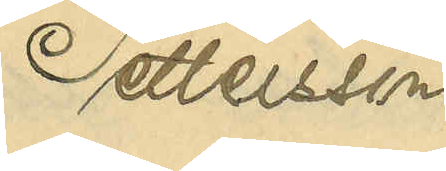Pettersson
